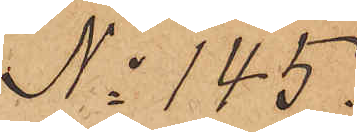No 145.
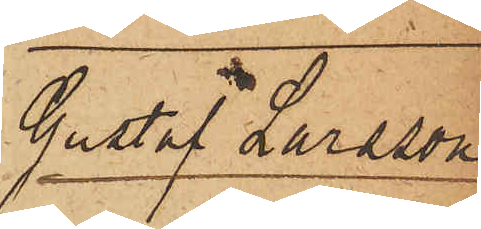Gustaf Larsson
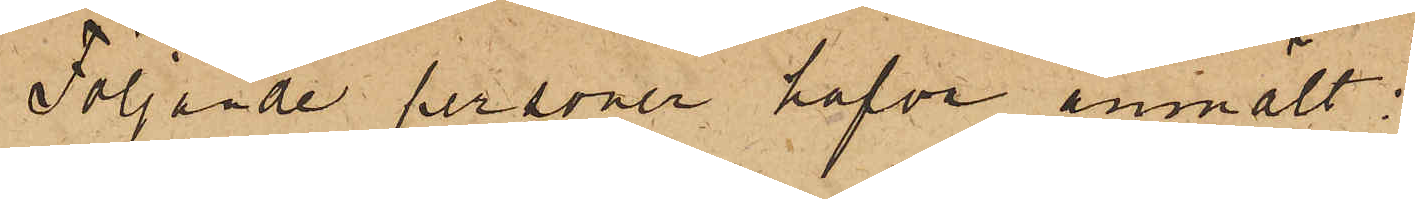Följande personer hafva anmält:
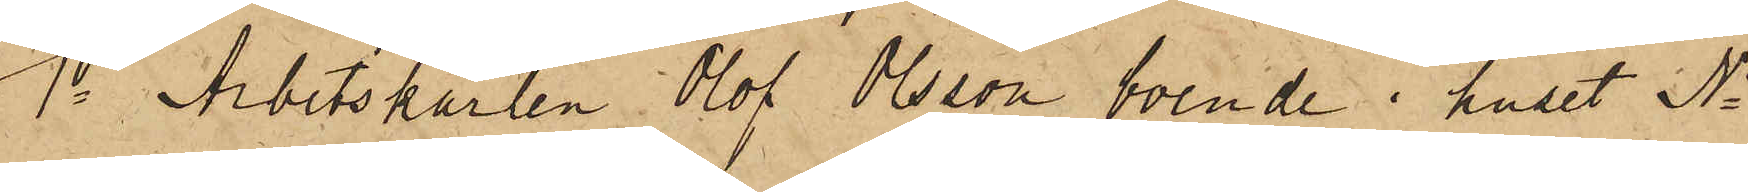1o Arbetskarlen Olof Olsson, boende i huset No
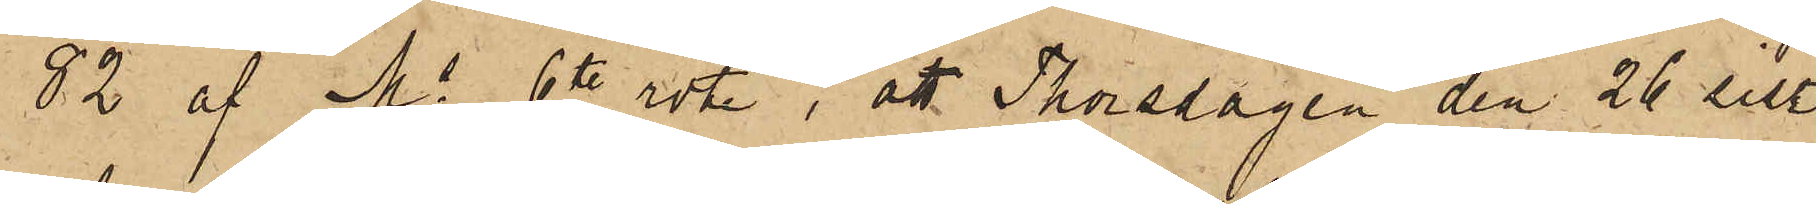82 af Ms 6te rote, att Thorsdagen den 26 sist.
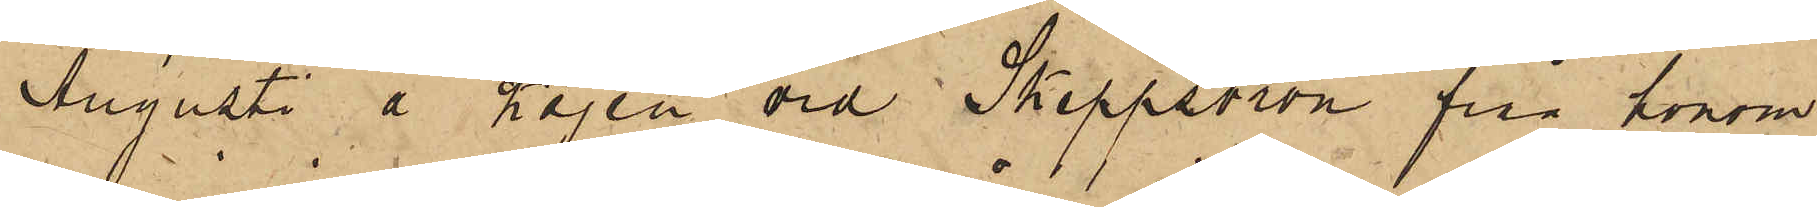Augusti å Kajen vid Skeppsbron från honom
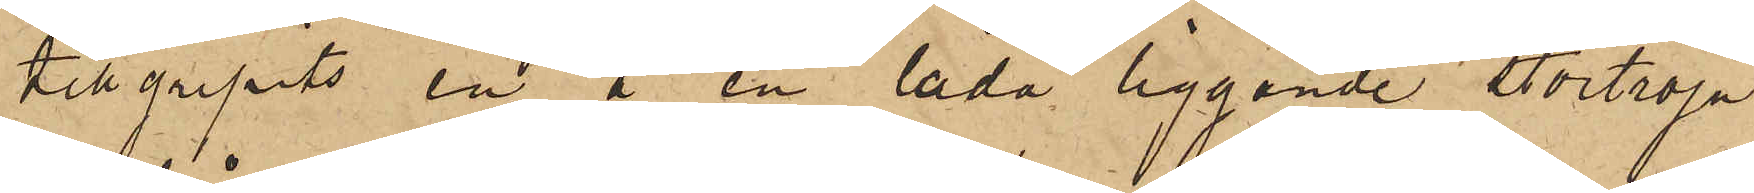tillgripits en å en låda liggande stortröja
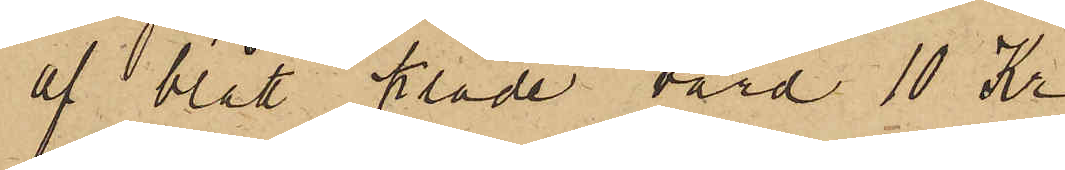af blått kläde, värd 10 Kr.
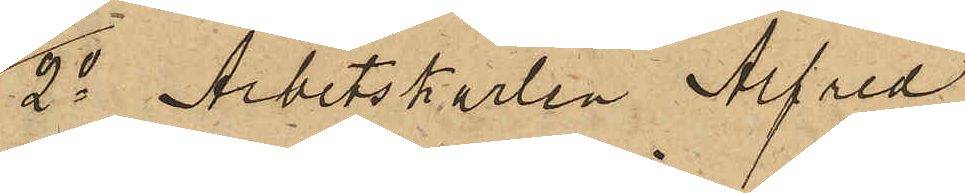2o Arbetskarlen Alfred
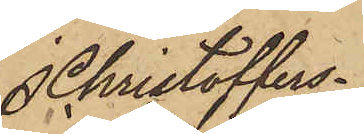Christoffers¬
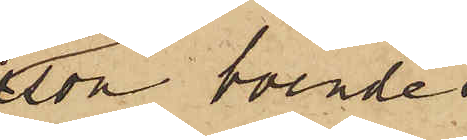son boende i
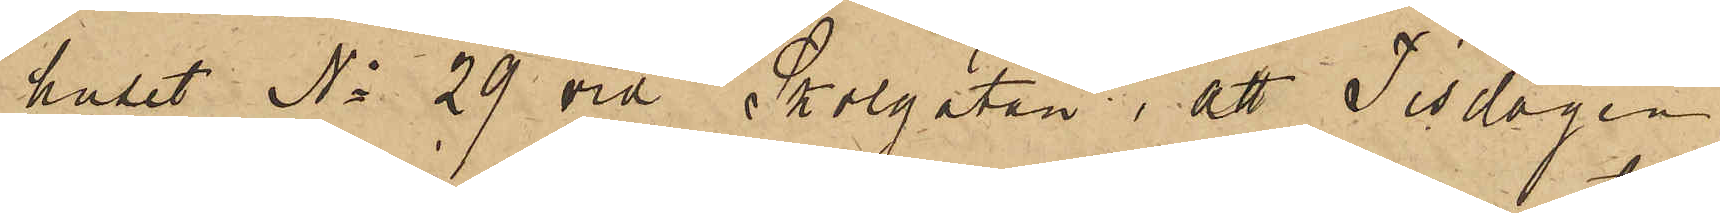huset No 29 vid Skolgatan, att Tisdagen
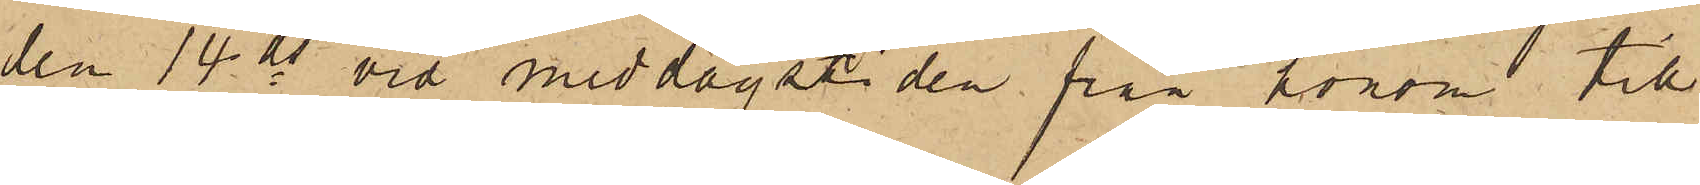den 14 ds vid middagstiden på honom till¬
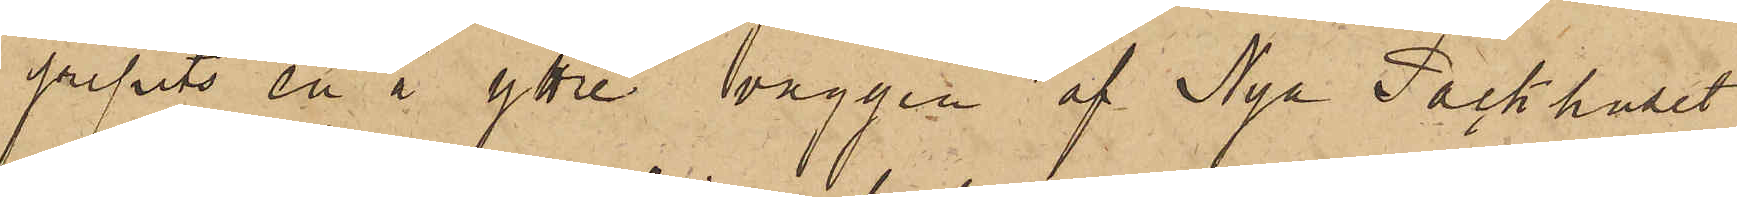gripits en å yttre väggen af Nya Packhuset
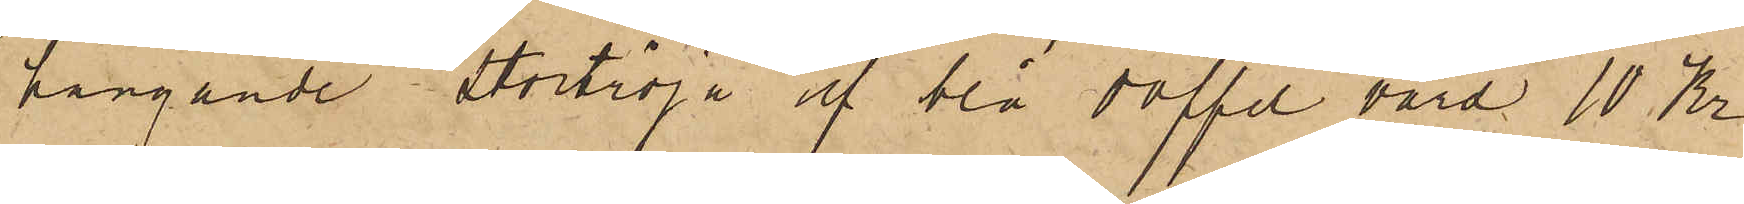hängande Stortröja af blå doffel värd 10 Kr
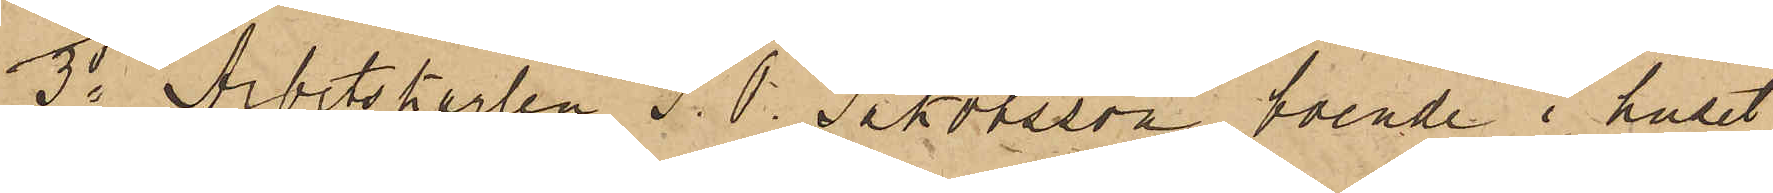3o Arbetskarlen J. O. Jakobsson, boende i huset
